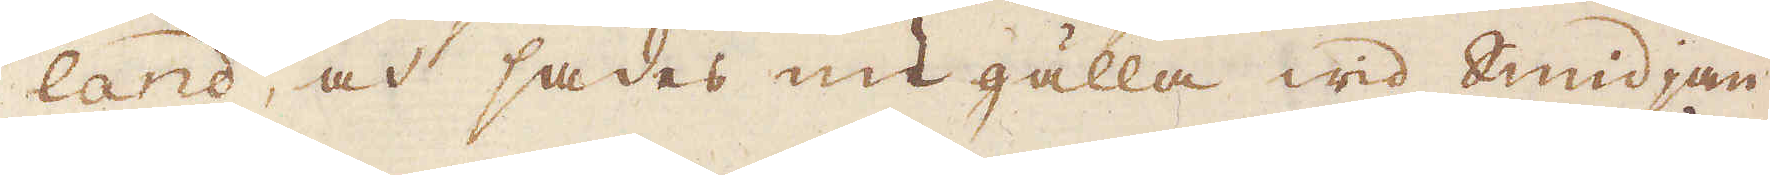land, och sades nu gälla wid Smidjan
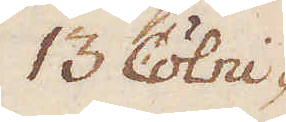13. Cölni-
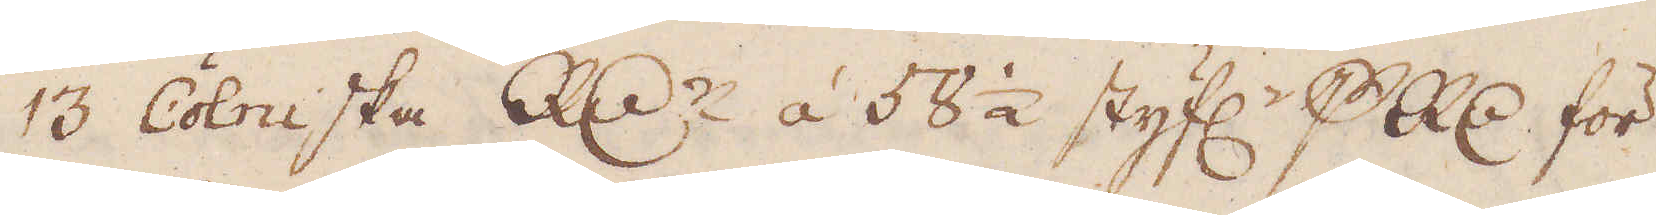13. Cölniska R:dr á 58 1/2 styf:r p R:dr för
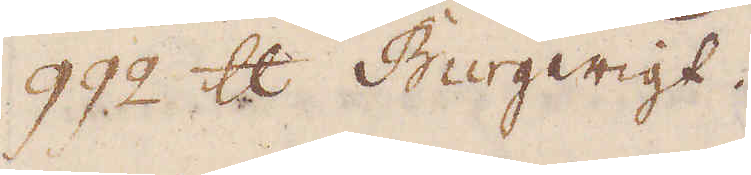992 skålpund Burgwigt.
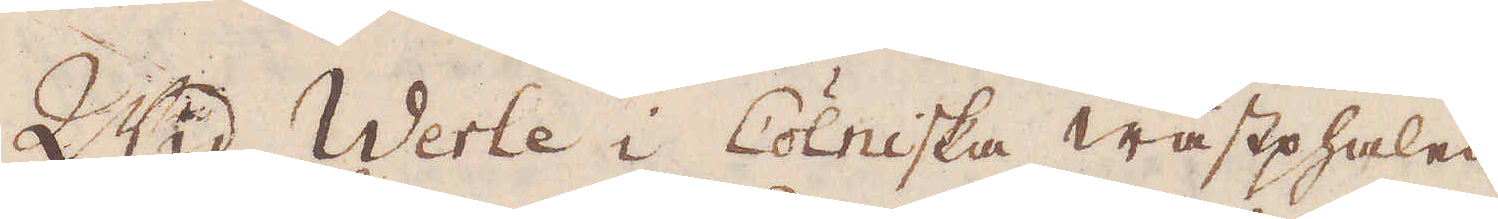Wid Werle i Cölniska Wästphalen
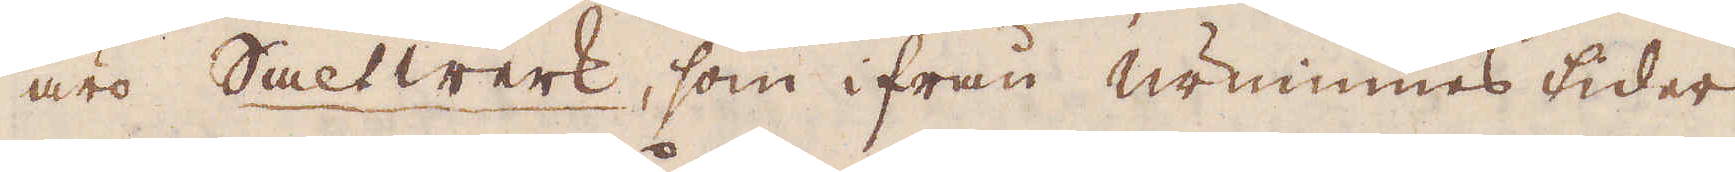äro Saltwerk, som ifrån urminnes tider
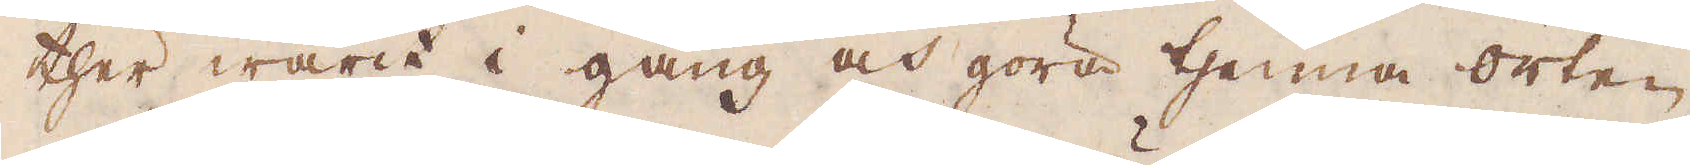ther warit i gång och göra thenna orten
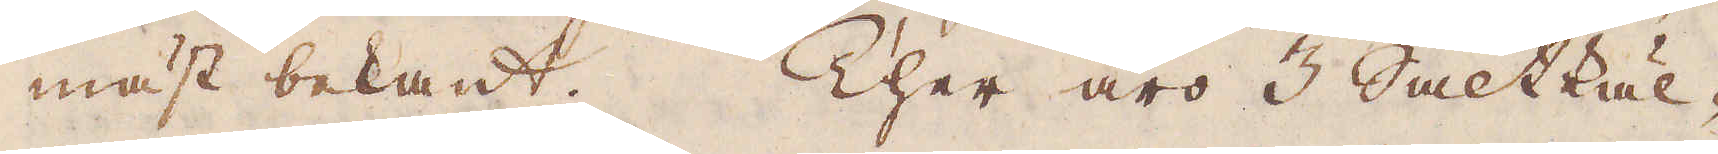mäst bekant. Ther äro 3 Saltkäl-
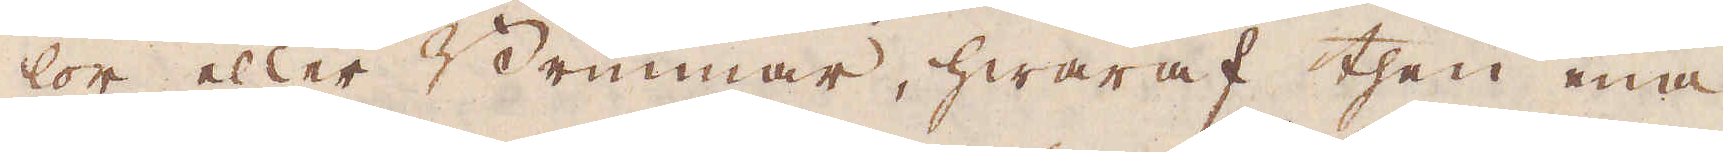lor eller Brunnar, hwaraf then ena
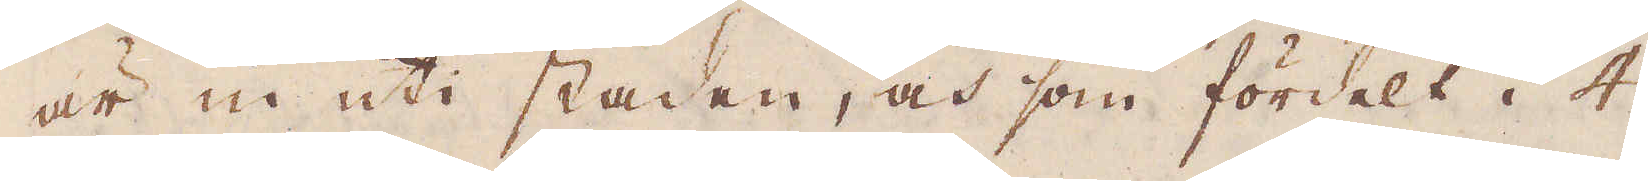är in uti staden, och som fördelt i 4
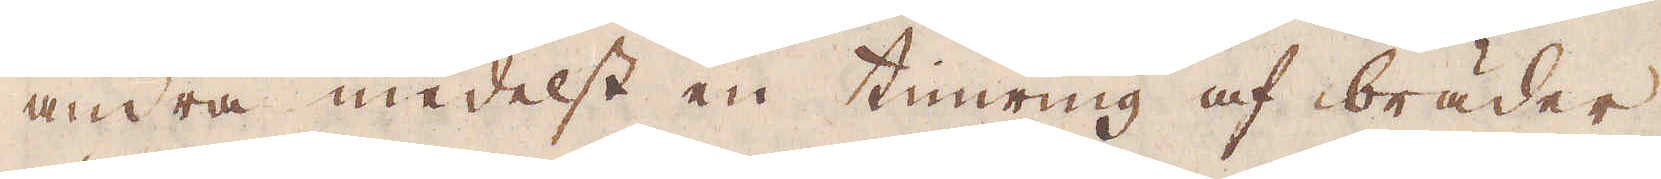andra medelst en timring af bräder.
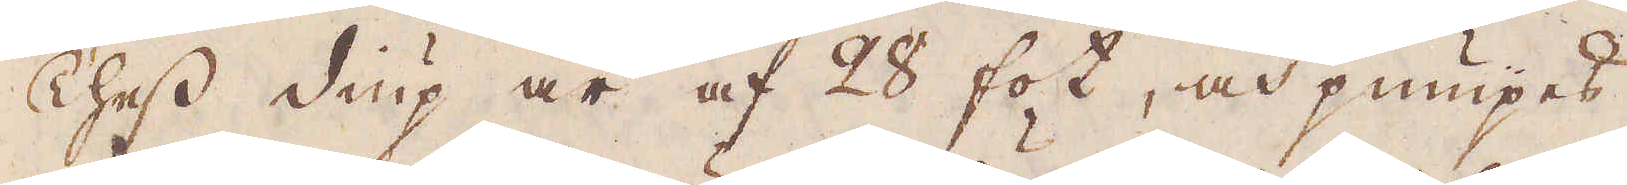Thess diup är af 28 fot, och pumpes
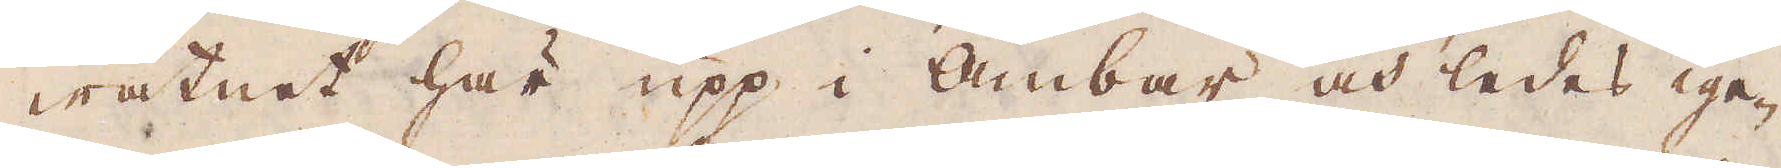watnet här upp i ämbar och ledes ige-
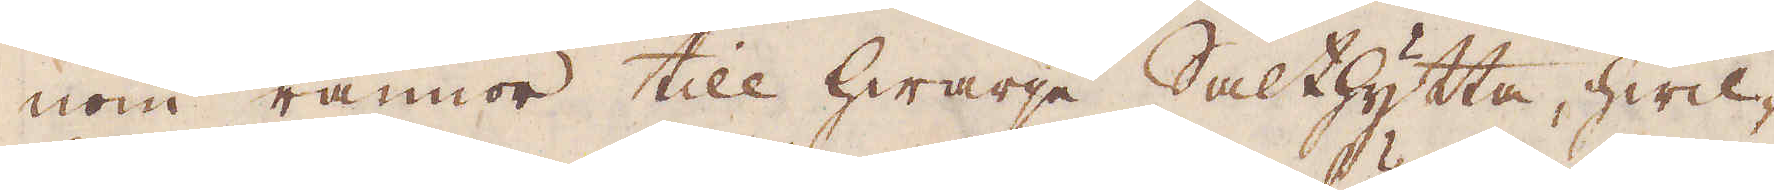nom rännor till hwarje Salthytta, hwil-
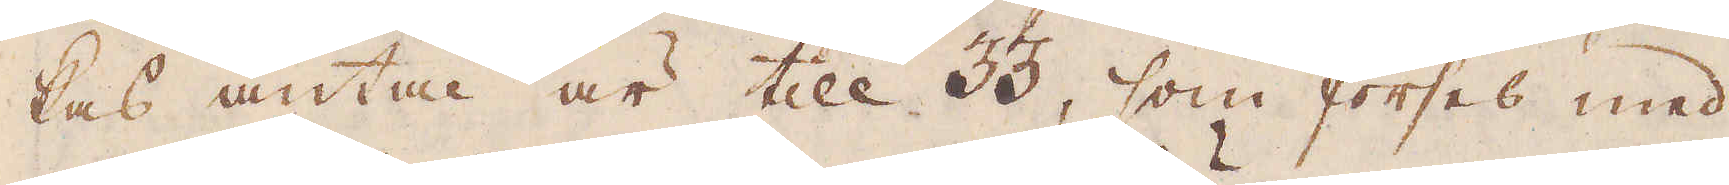kas antal är till 33, som förses med
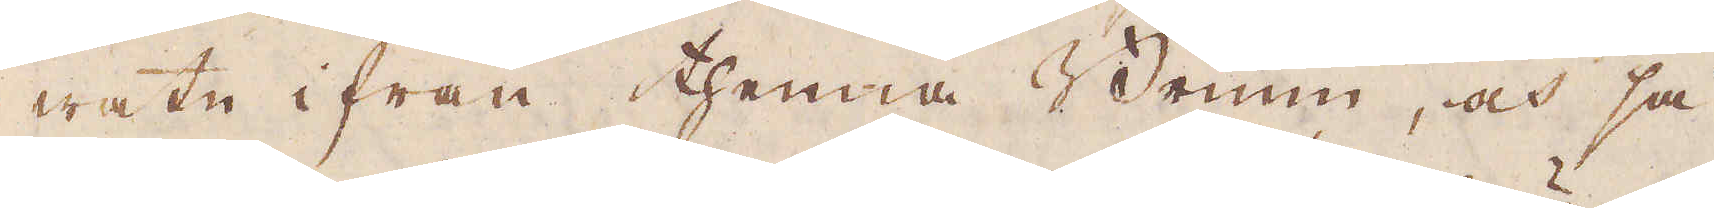watn ifrån thenna Brunn, och så
